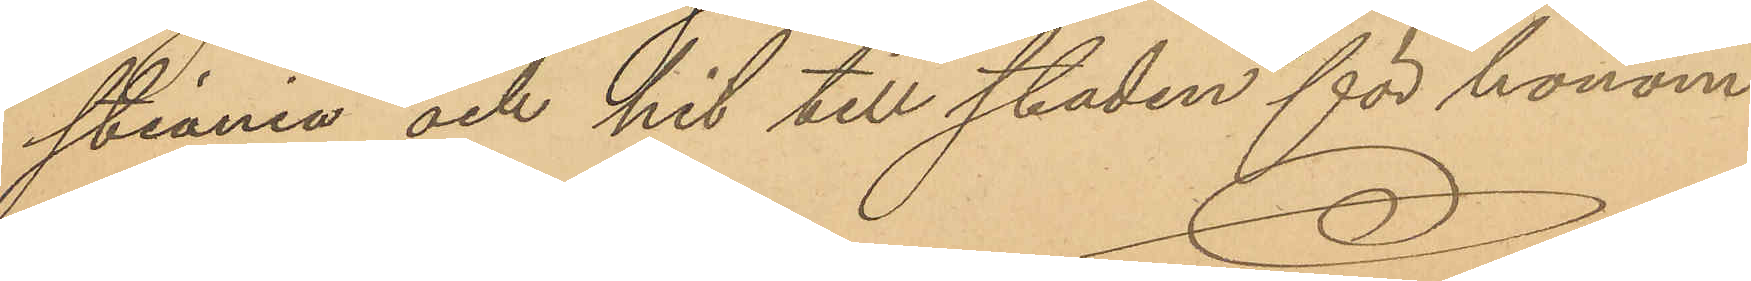stiania och hit till staden för honom
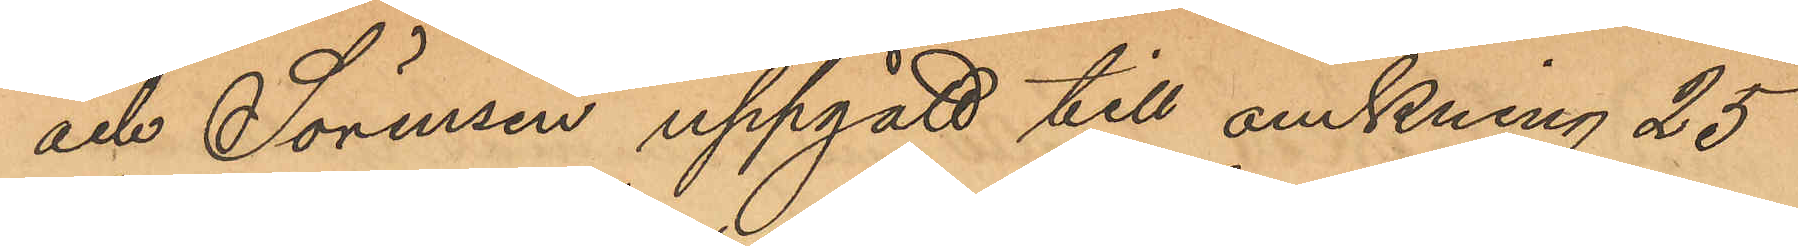och Sörensen uppgått till omkring 25
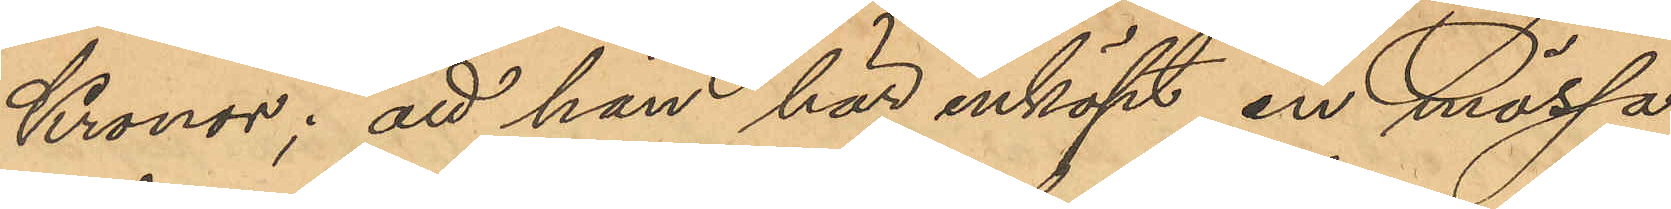Kronor; att han här inköpt en mössa
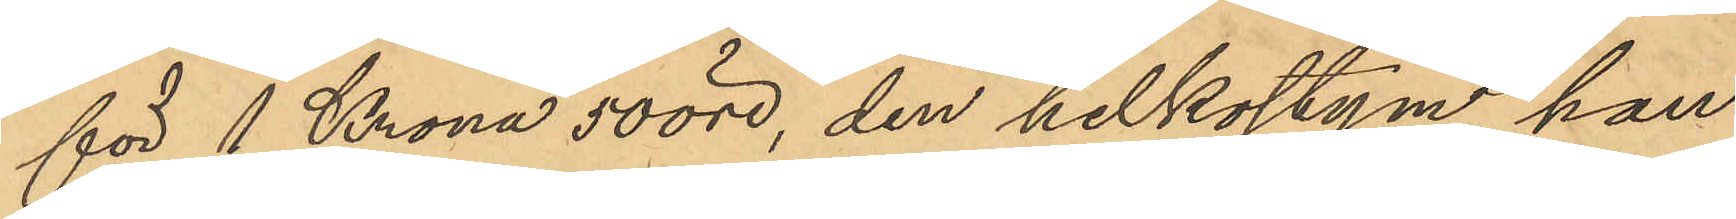för 1 Krona 50 öre, den helkostym han
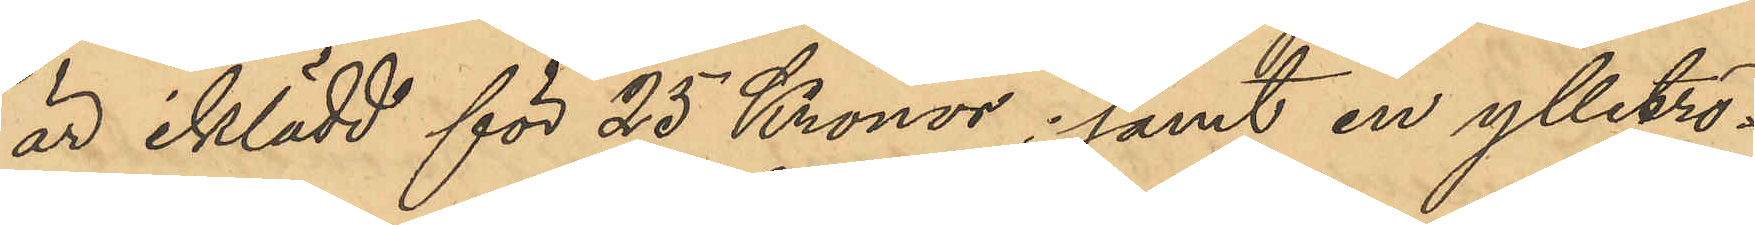är iklädd för 25 Kronor; samt en ylletrö¬
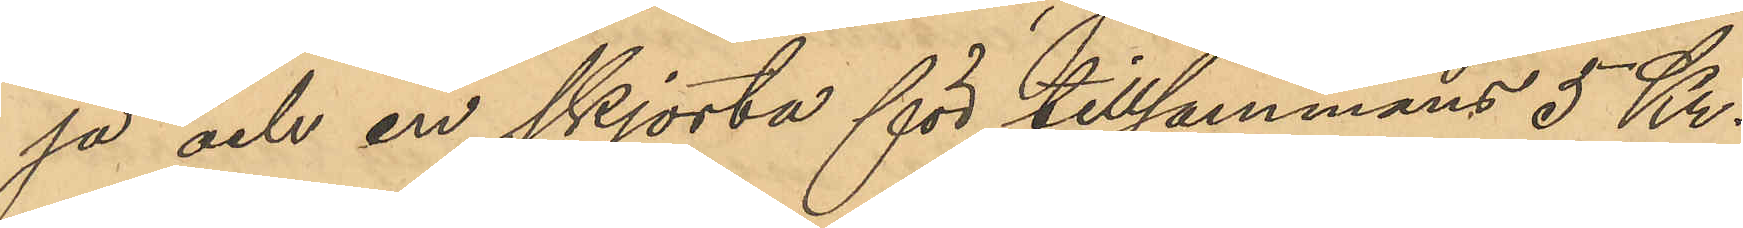ja och em skjorta för tillsammans 5 Kr.
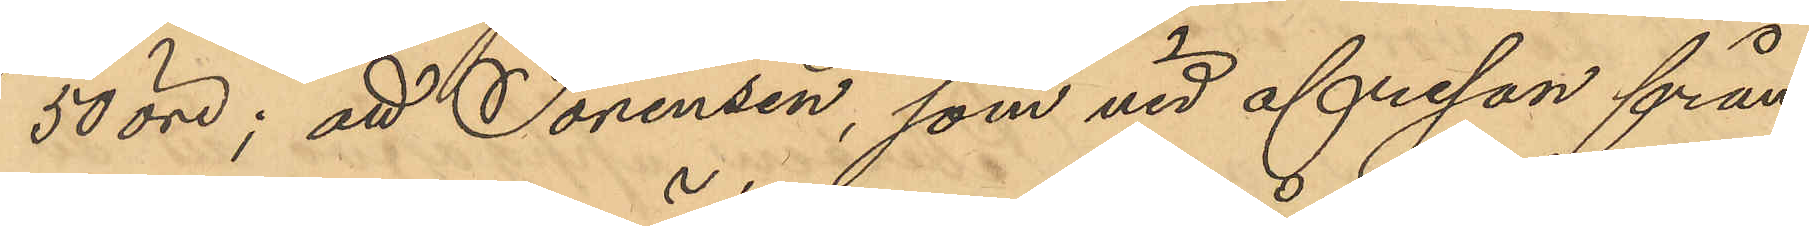50 öre; att Sörensen, som vid afresan från
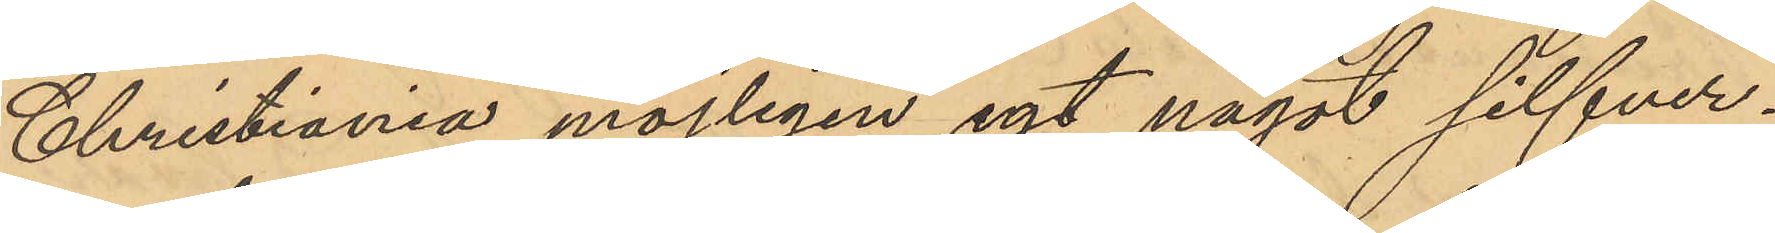Christiania möjligen egt något silfver¬
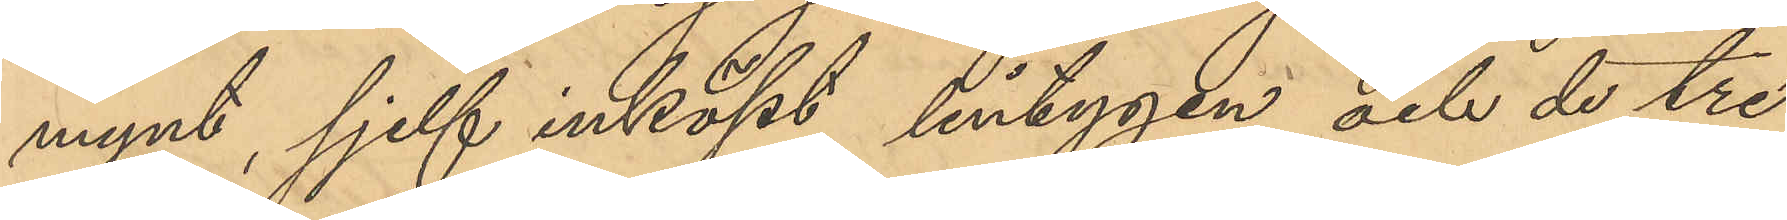mynt, sjelf inköpt lintygen och de tre
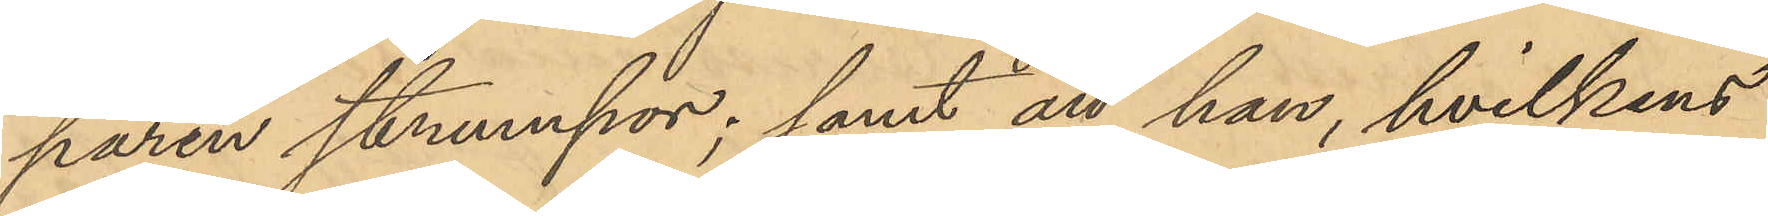paren strumpor; samt att han, hvilkens
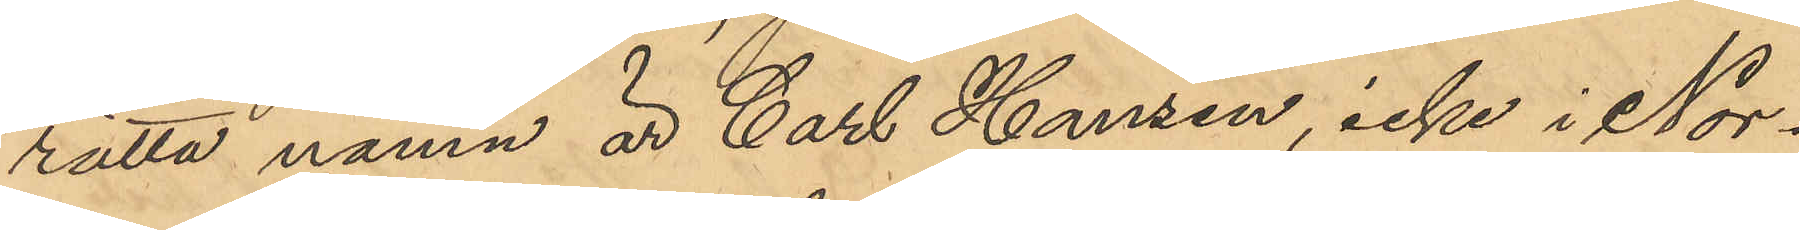rätta namn är Carl Hansen, icke i Nor¬
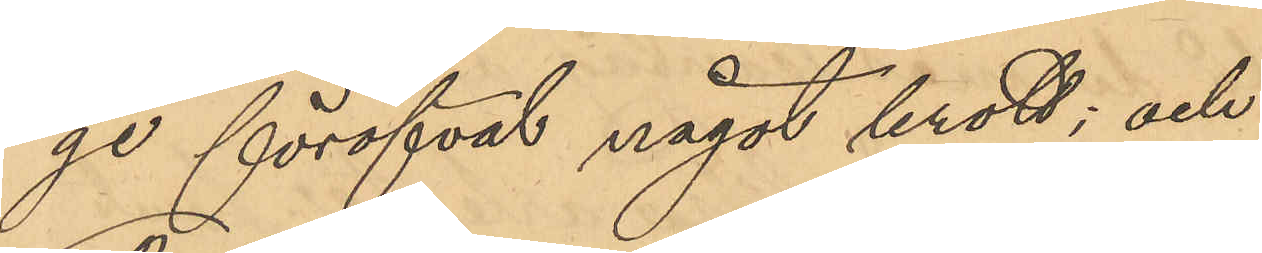ge föröfvat något brott; och
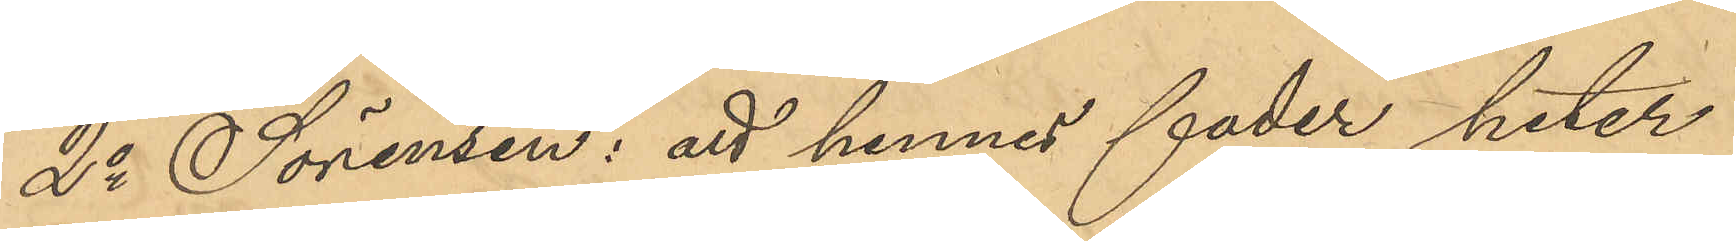2o Sörensen: att hennes fader heter
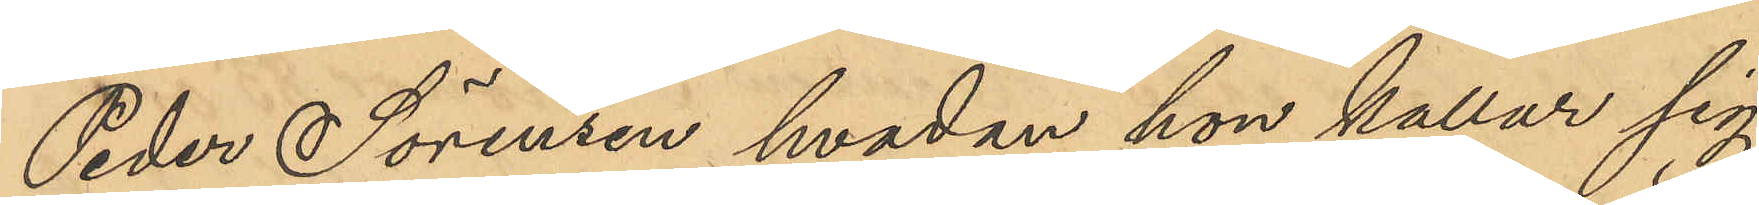Peder Sörensen hvadan hon kallar sig
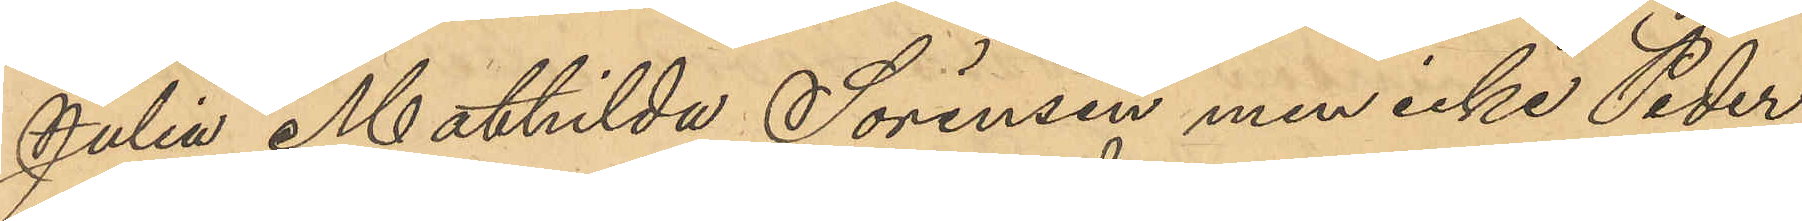Julia Mathilda Sörensen men icke Peder¬
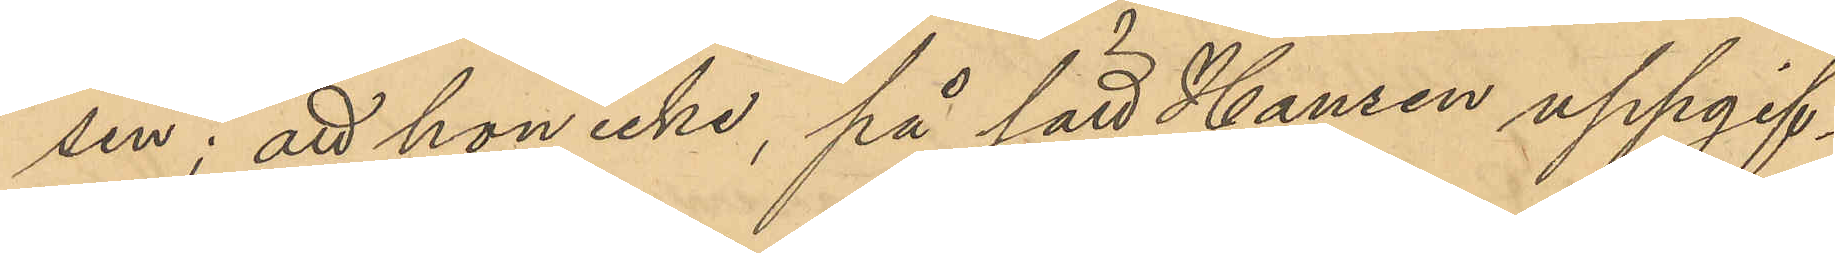sen; att hon icke, på sätt Hansen uppgif¬
